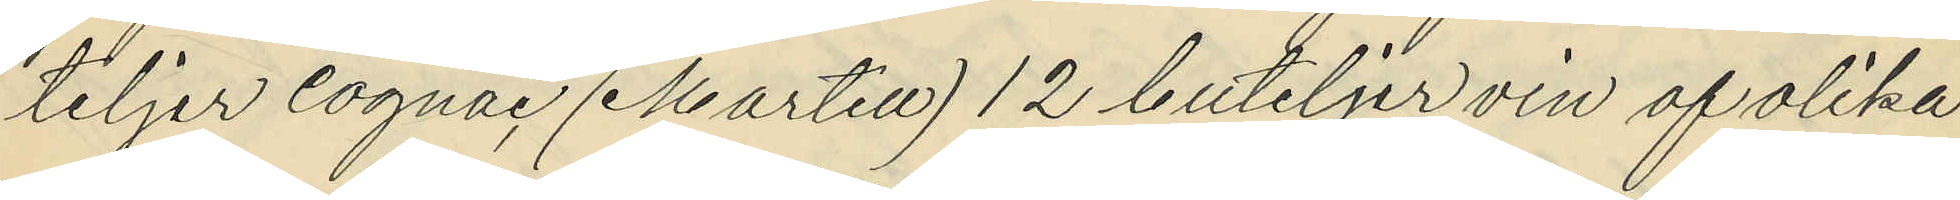teljer cognac (Martell) 12 buteljer vin af olika
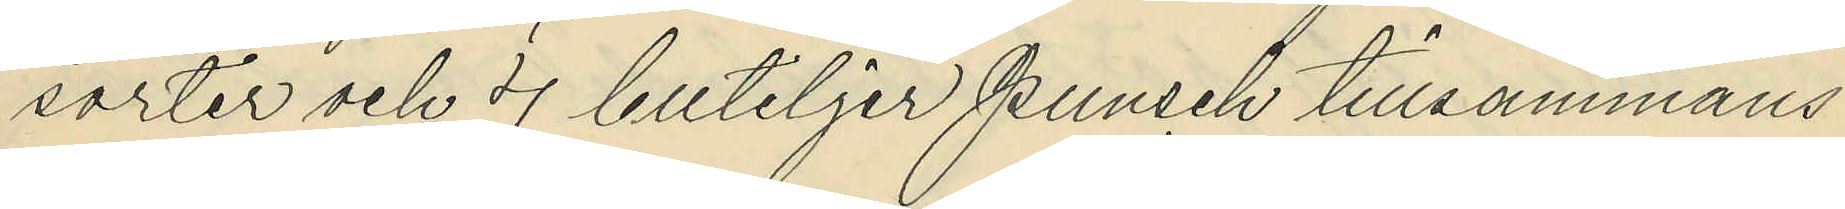sorter och 4 buteljer punsch tillsammans
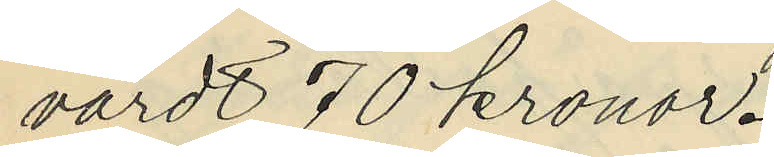värdt 70 kronor.
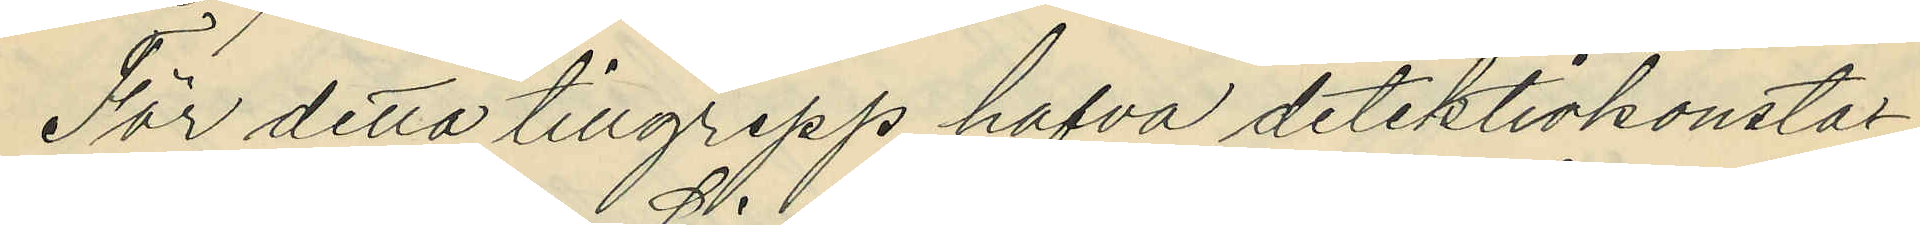För detta tillgrepp hafva detektivkonsta¬
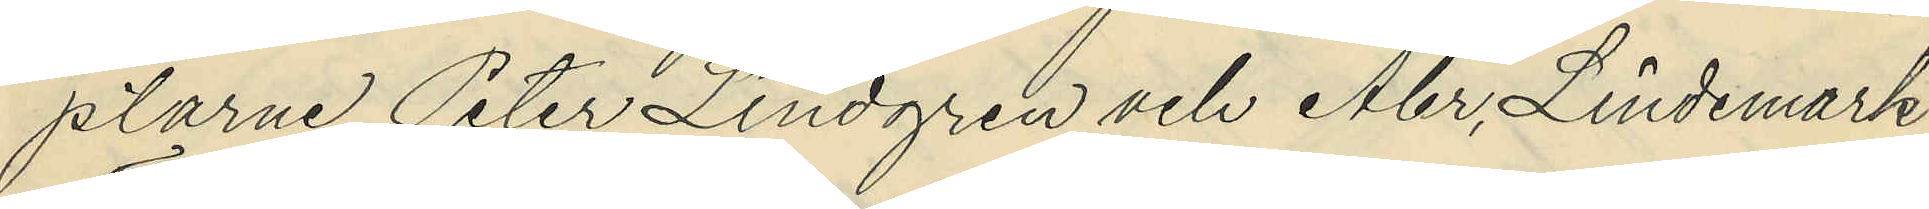plarne Peter Lindgren och Abr. Lindemark
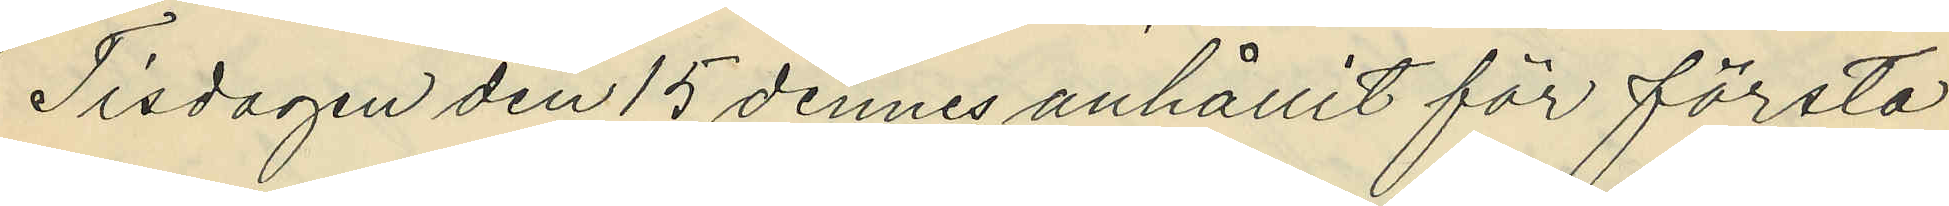Tisdagen den 15 dennes anhållit för första
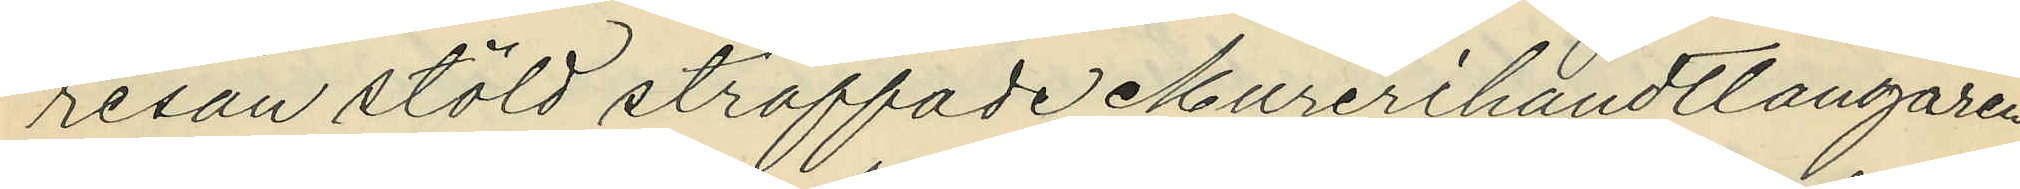resan stöld straffade Murerihandtlangaren
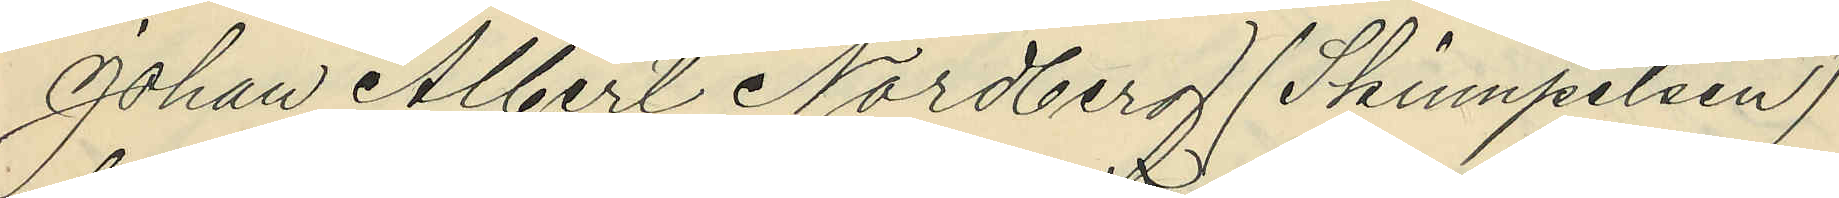Johan Albert Nordberg (Skinnpelsen)
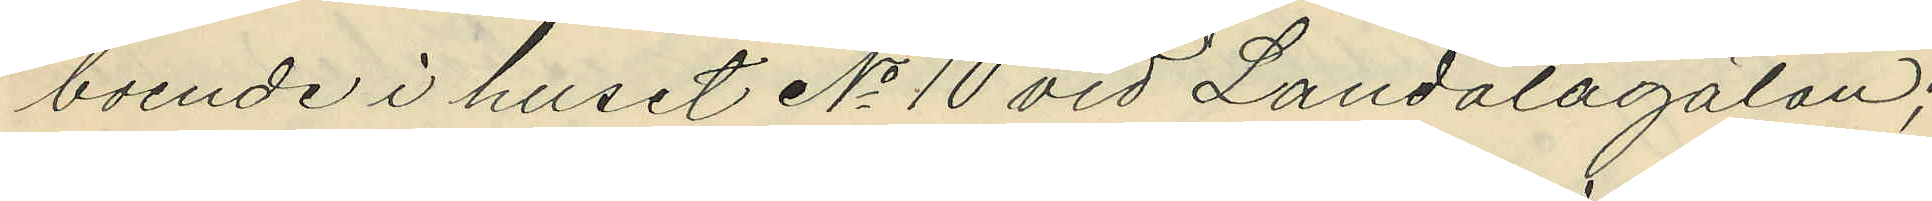boende i huset No 10 vid Landalagatan;
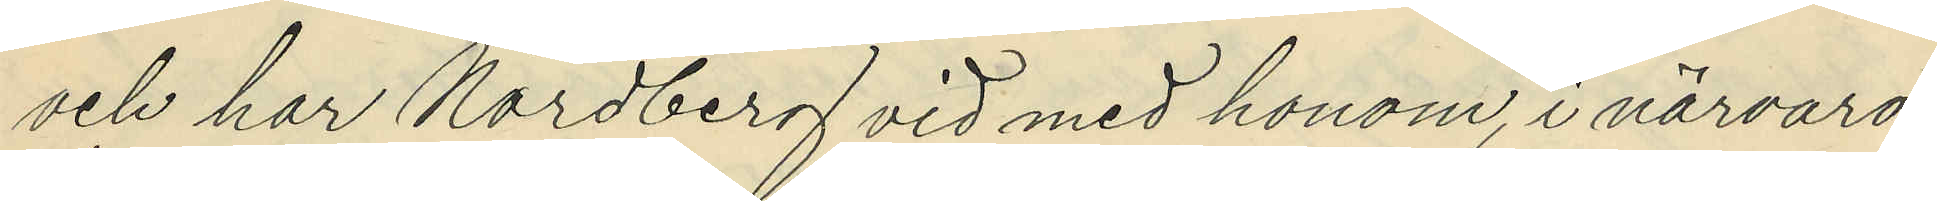och har Nordberg vid med honom, i närvaro
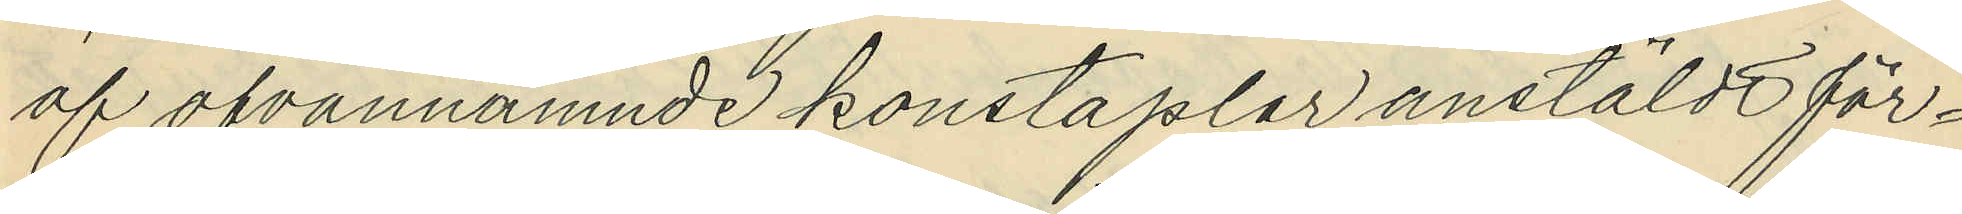af ofvannämnde konstaplar anstäldt för¬
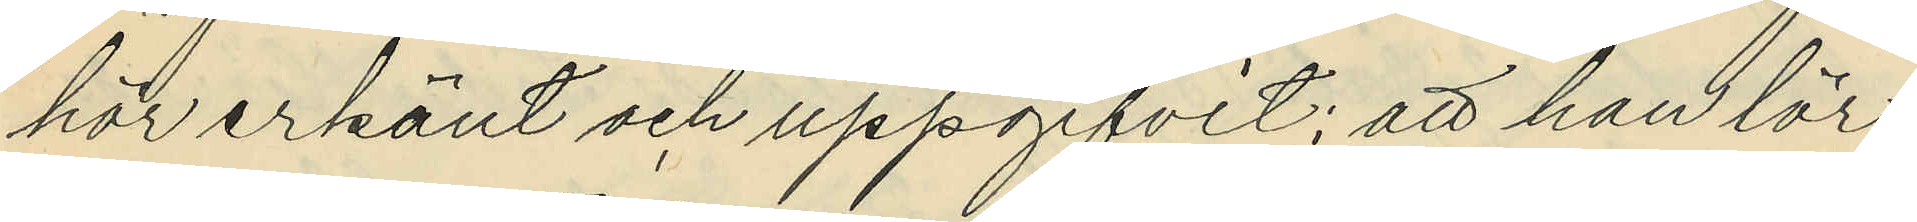hör erkänt och uppgifvit; att han lör¬
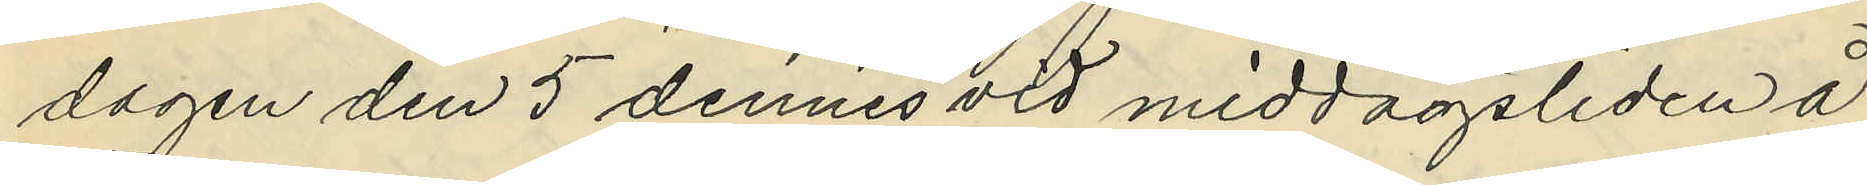dagen den 5 dennes vid middagstiden å
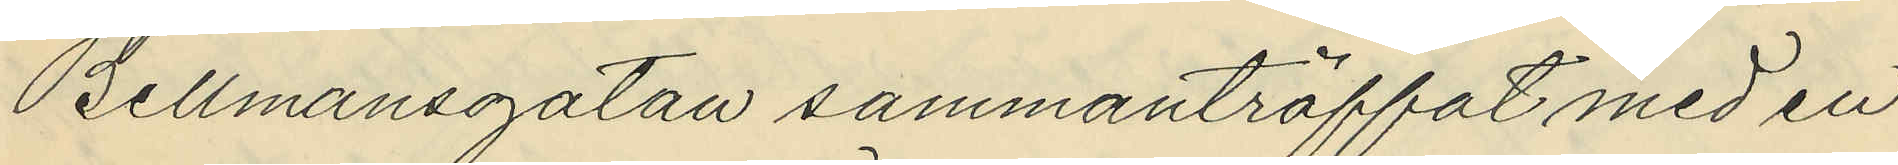Bellmansgatan sammanträffat med en
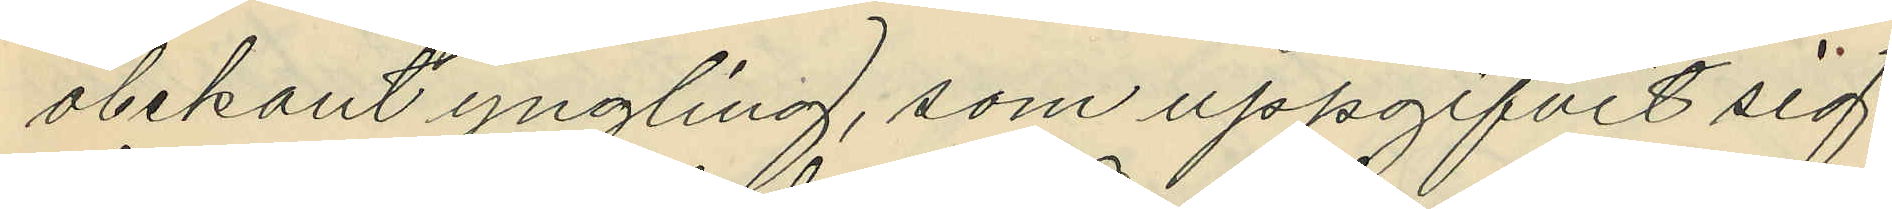obekant yngling, som uppgifvit sig
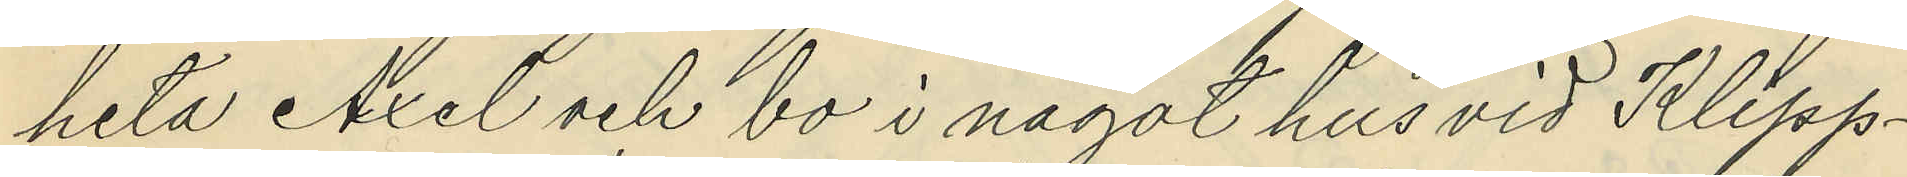heta Axel och bo i något hus vid Klipp¬
